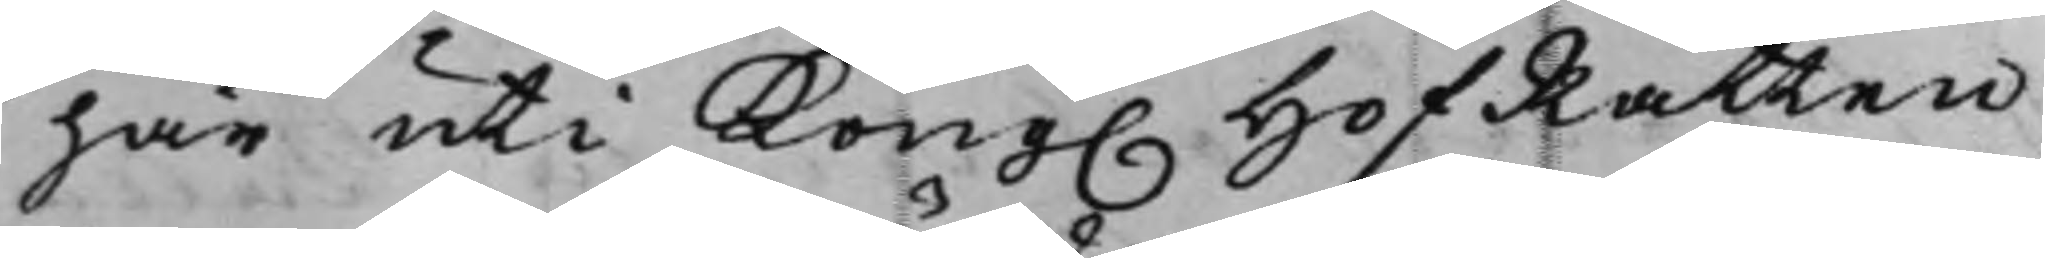här uti Kong. HofRätten
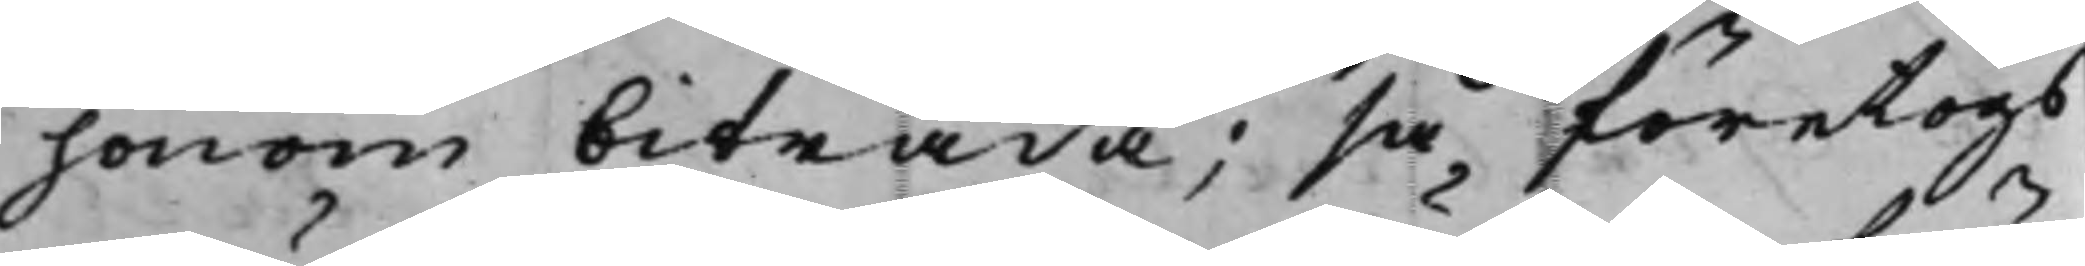honom biträda; så företogs
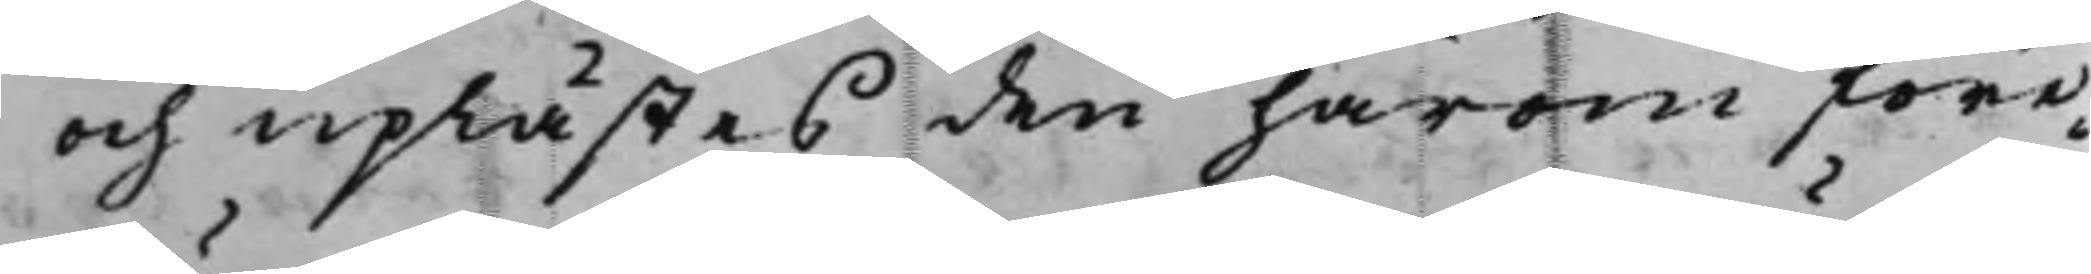och uplästes den härom före¬
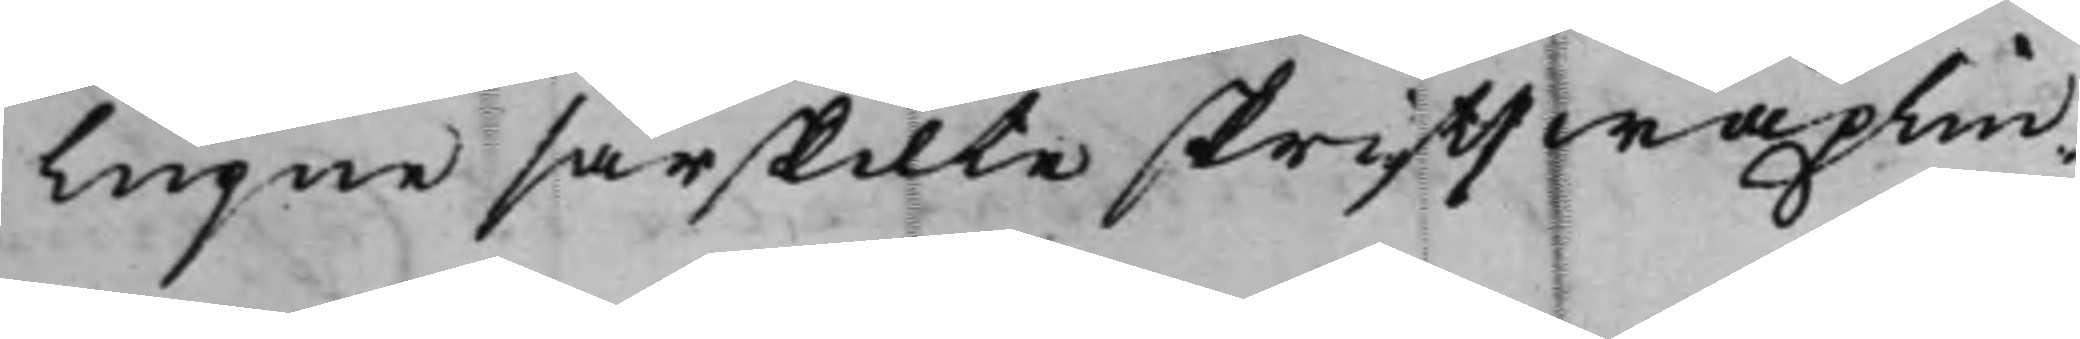lupne särskilte skrifftwäxlin¬
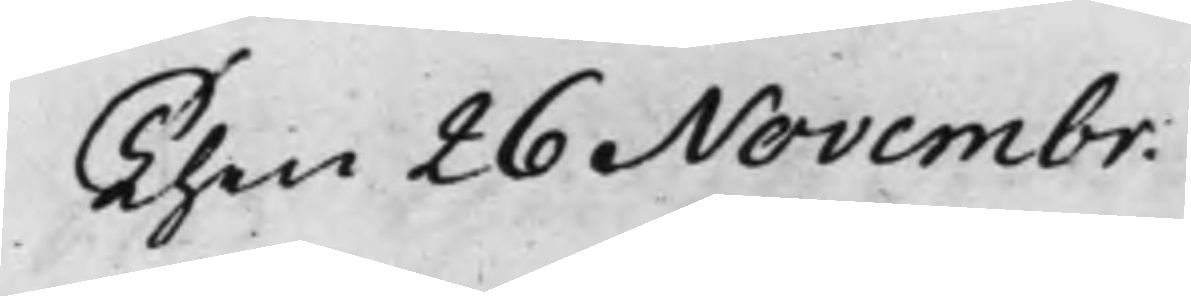Then 26 Novembr.
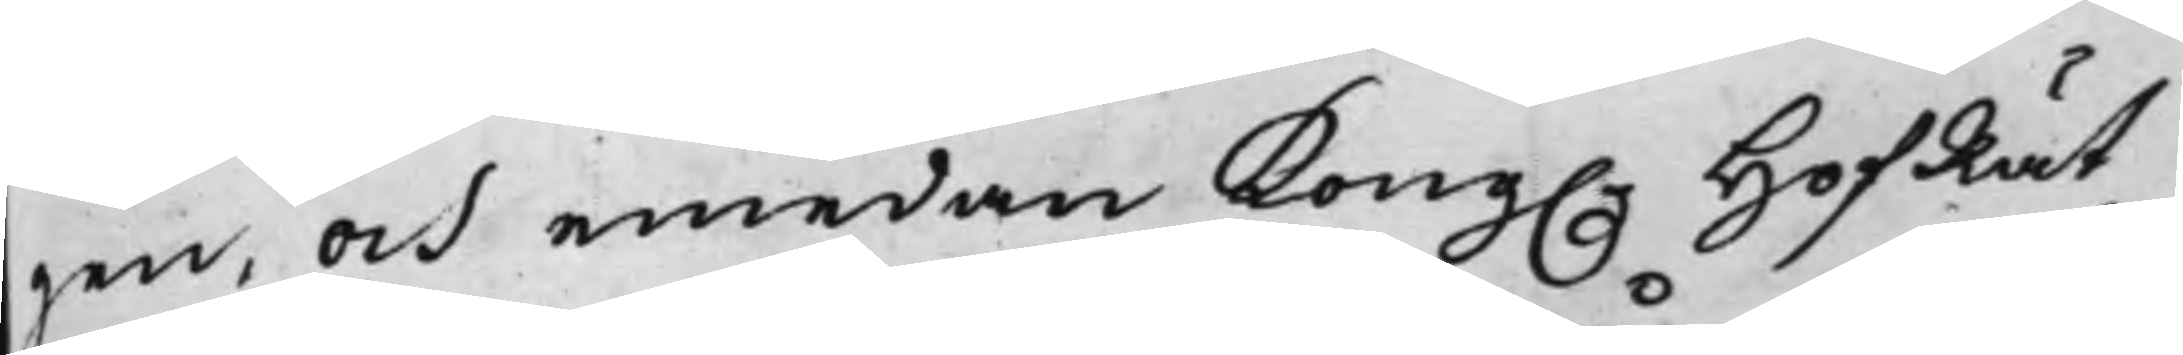gen, och emedan Kong. HofRät¬
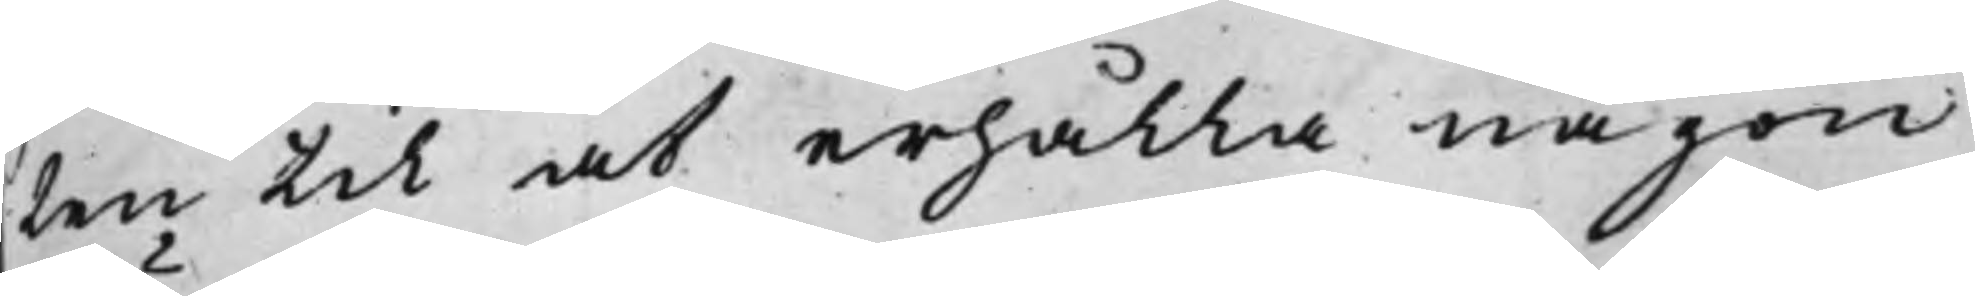ten til at erhålla någon
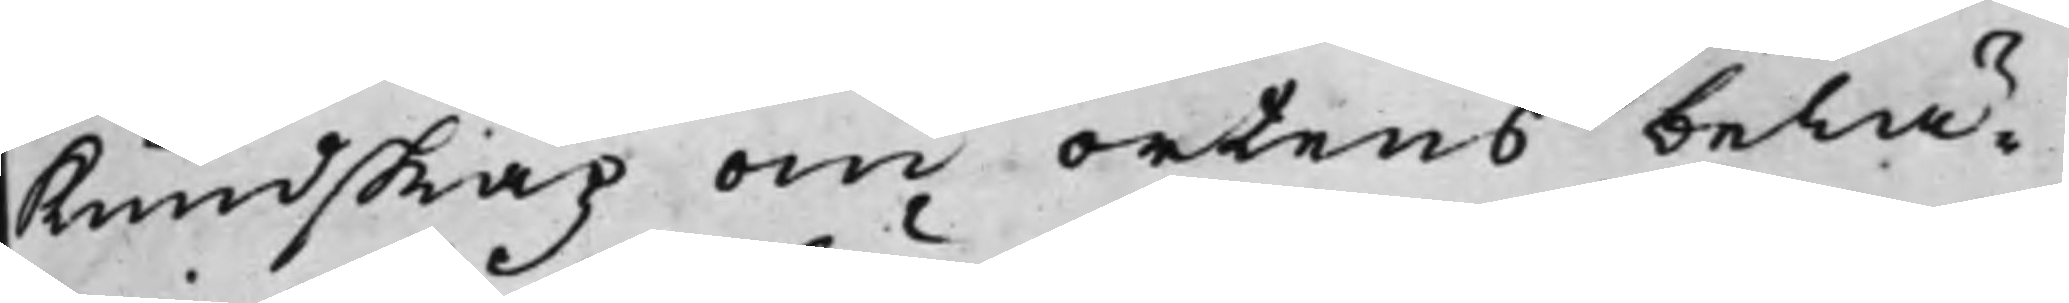Kundskap om ortens belä¬
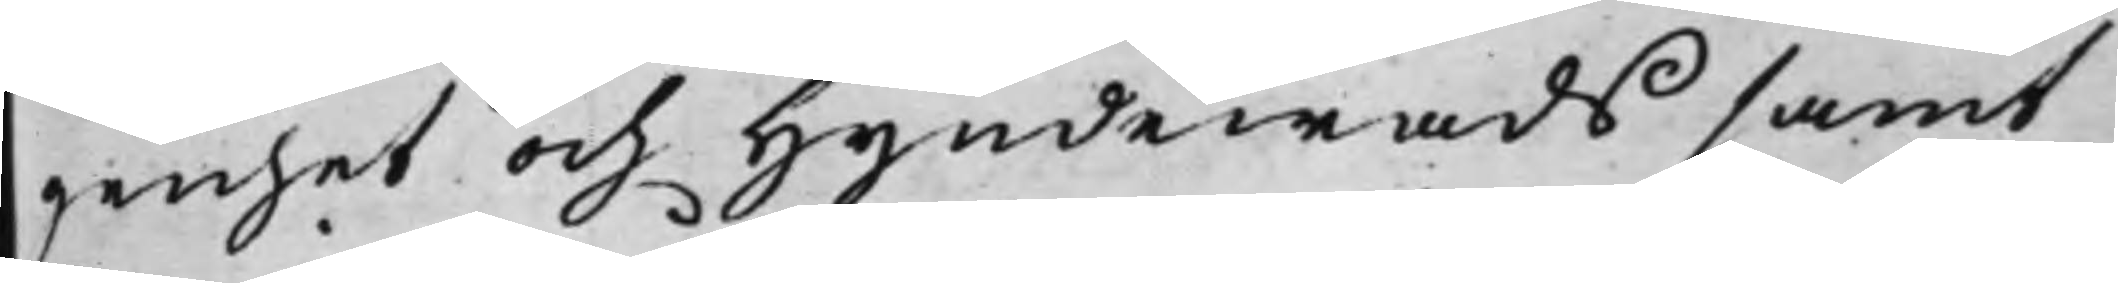genhet och Hyndewads samt
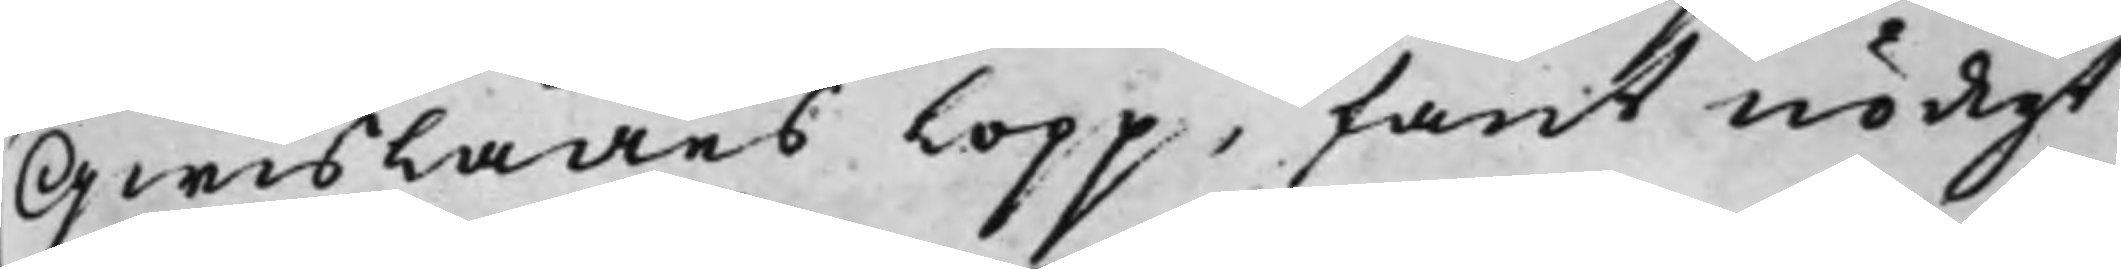QwislaÅns lopp, fant nödigt
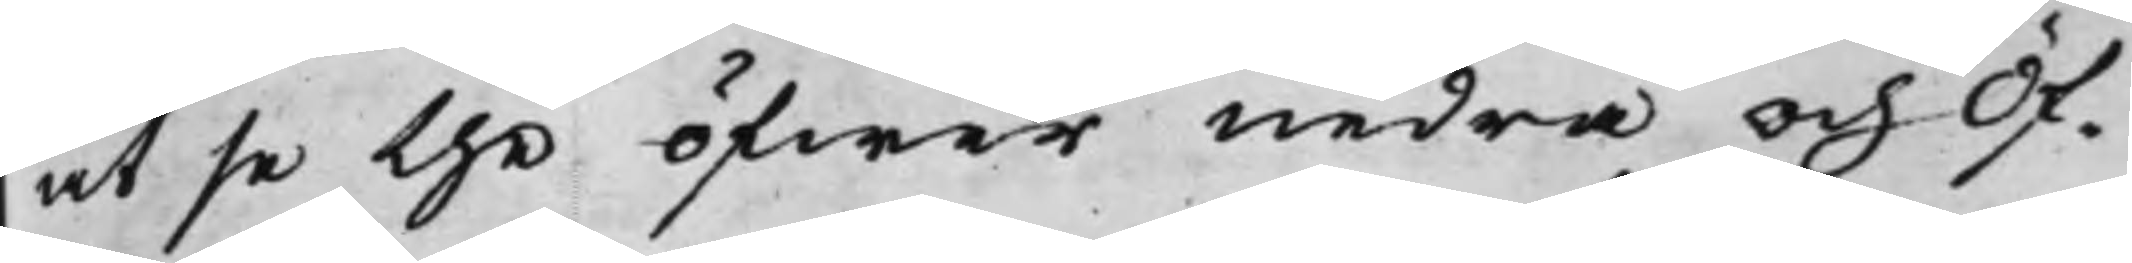at se the öfwer nedra och Öf¬
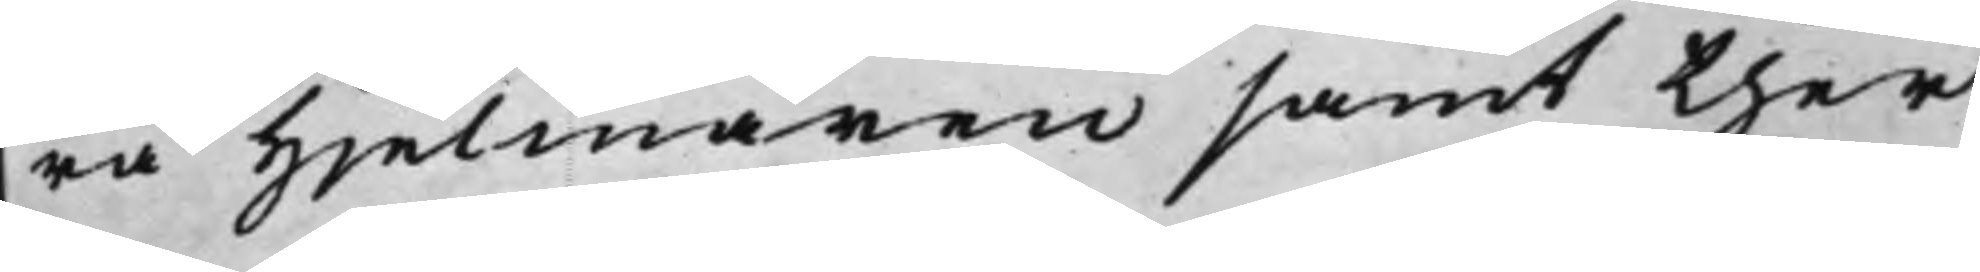ra Hjelmaren samt ther¬
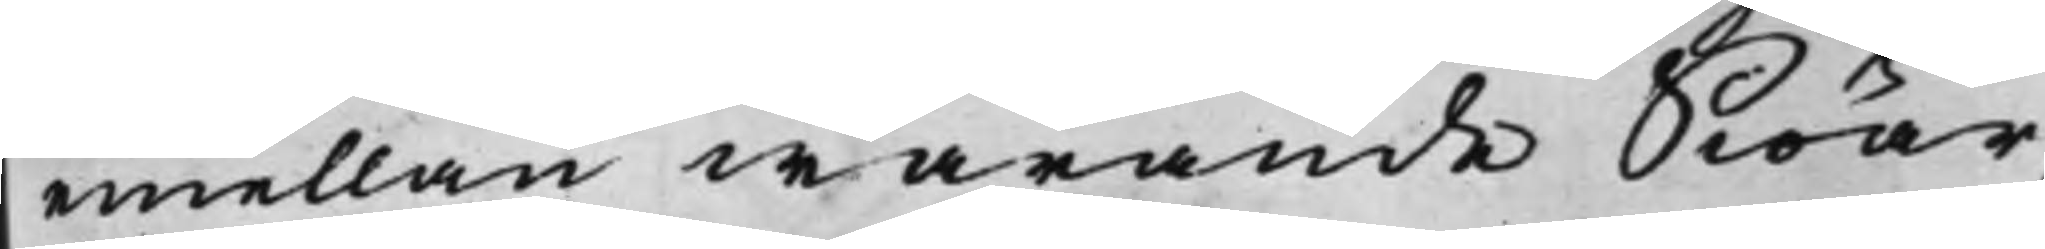emellan warande Siöar,
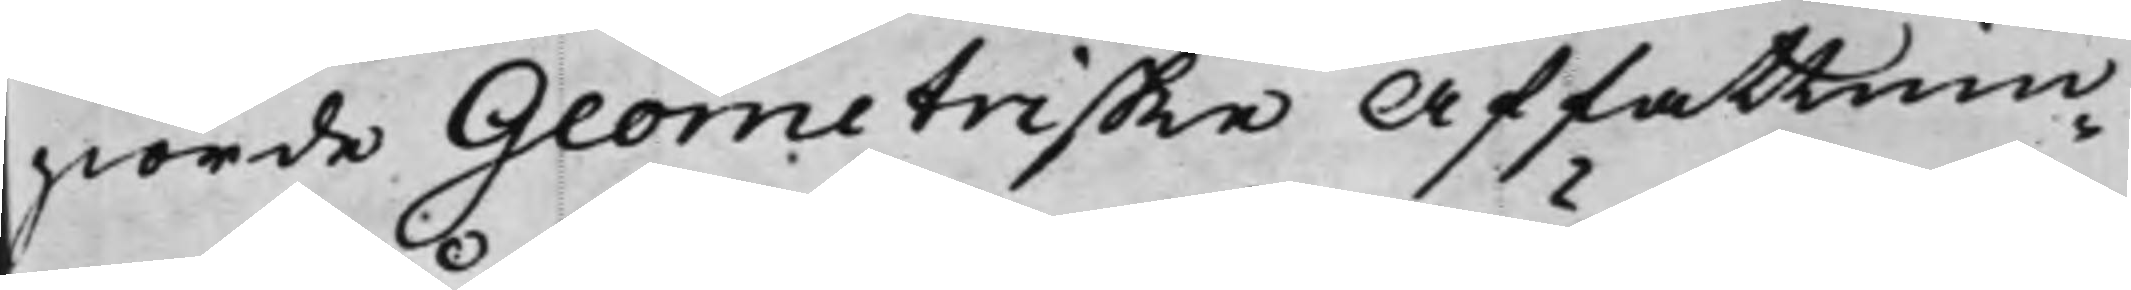giorde Geometriske affattnin¬
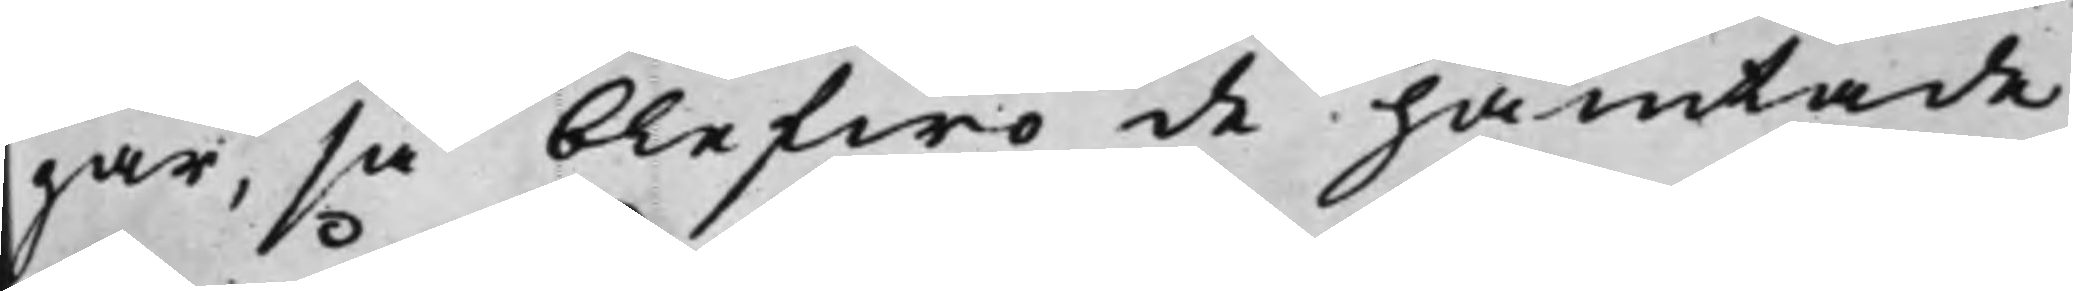gar, så blefwo de hämtade
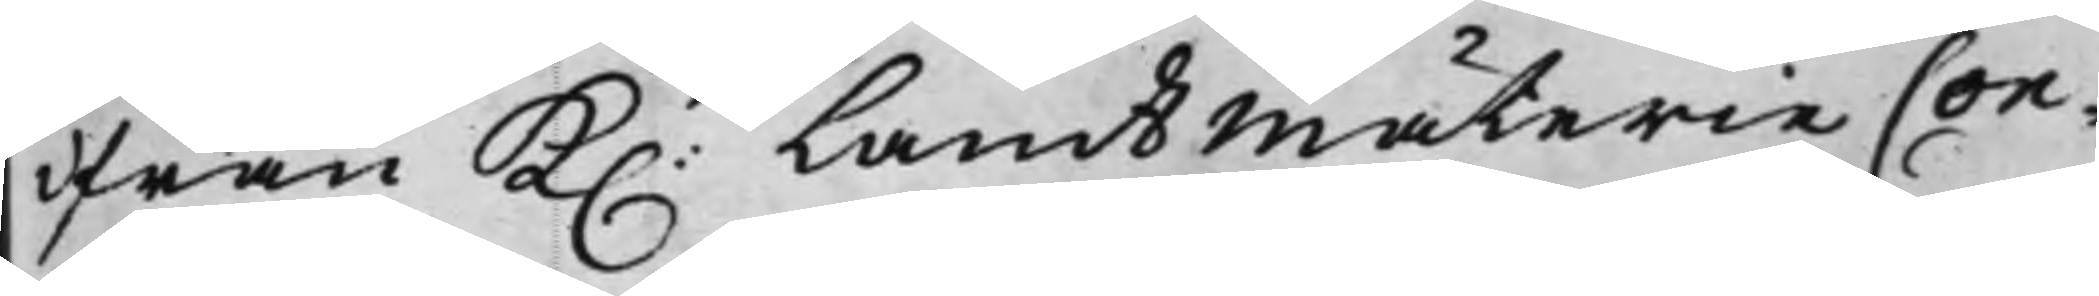ifrån K. LandtmäterieCon¬
